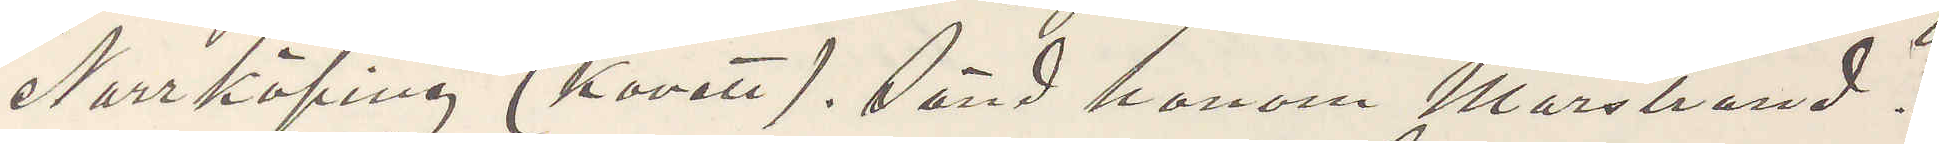"Norrköping" (Kovett). Sänd honom Marstrand.
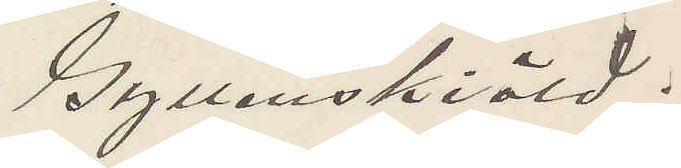Gyllenskiöld.
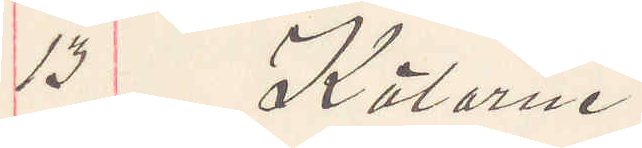13 Kälarne.
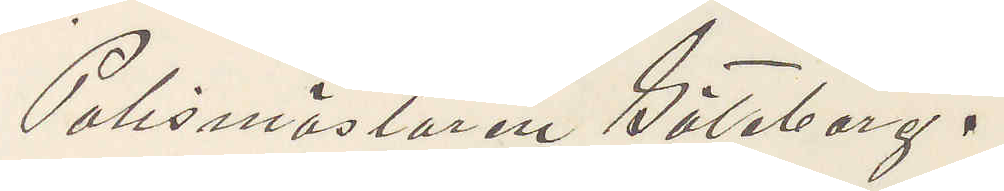Polismästaren Göteborg.
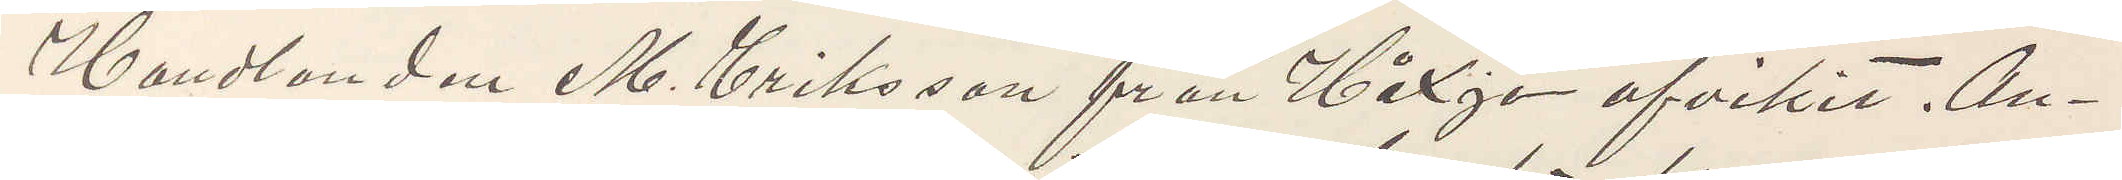Handlanden M. Eriksson från Håxjö afvikit. An¬
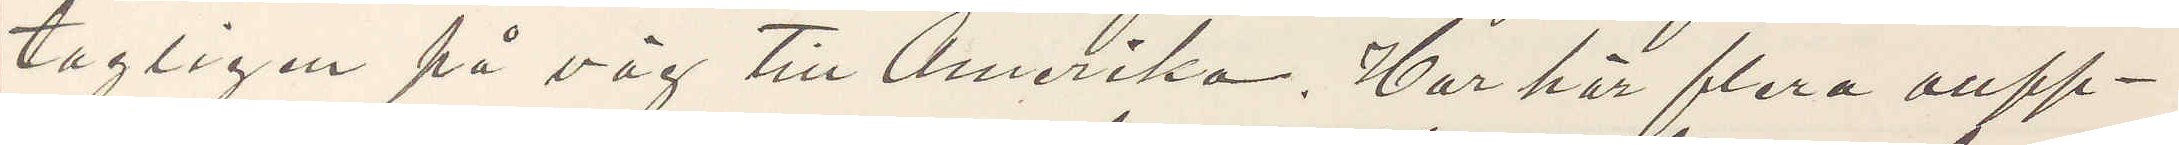tagligen på väg till Amerika. Har har flera oupp¬
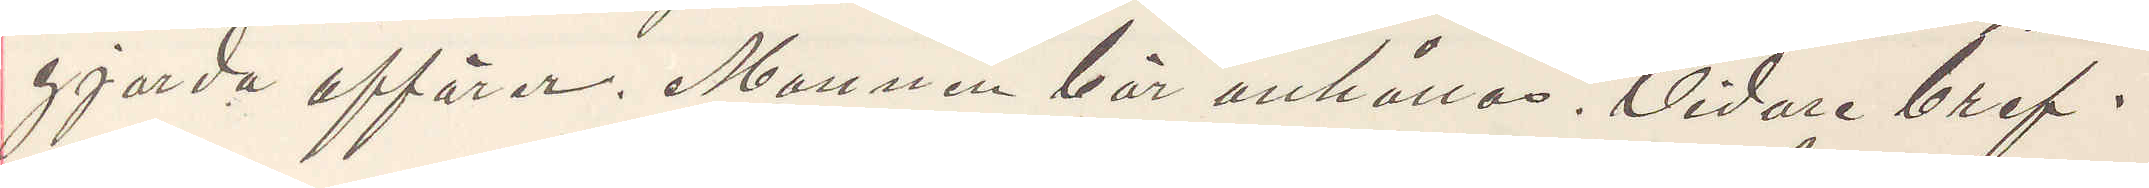gjorda affärer. Mannen bör anhållas. Vidare bref.
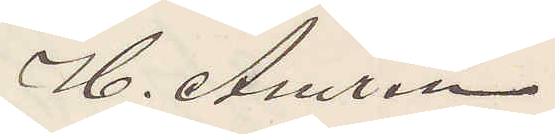H. Amrén
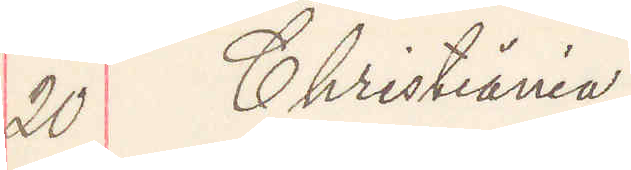20 Christiania.
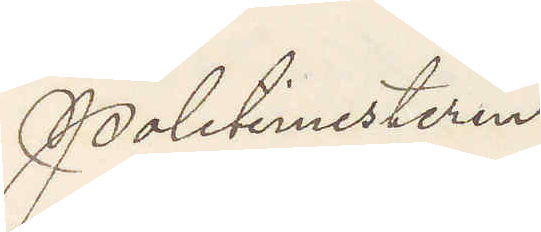Politimesteren
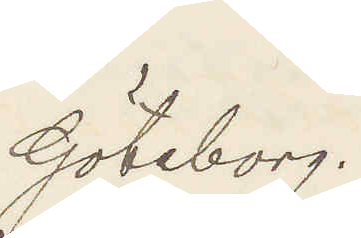Göteborg.
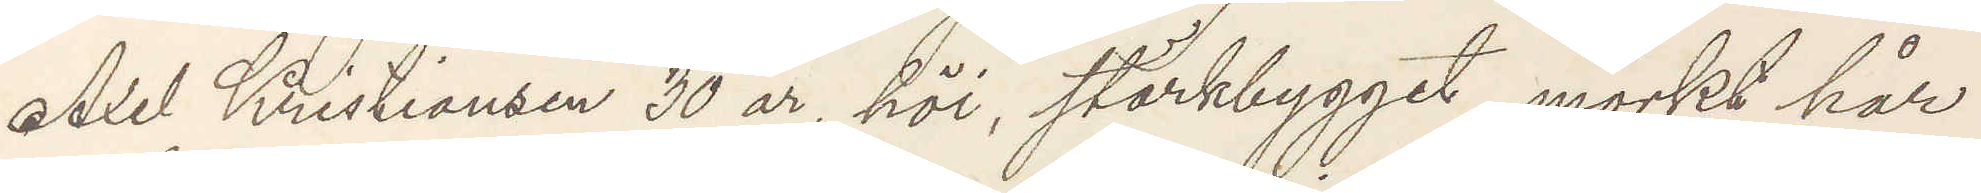Axel Kristiansen 30 år, höi, stärkbygget, mörkt hår
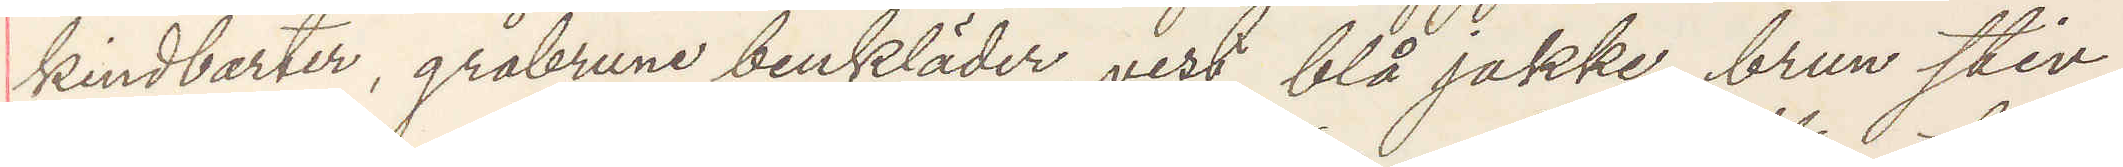kindbarter, gråbrune benkläder, vest, blå jakke, brun stiv
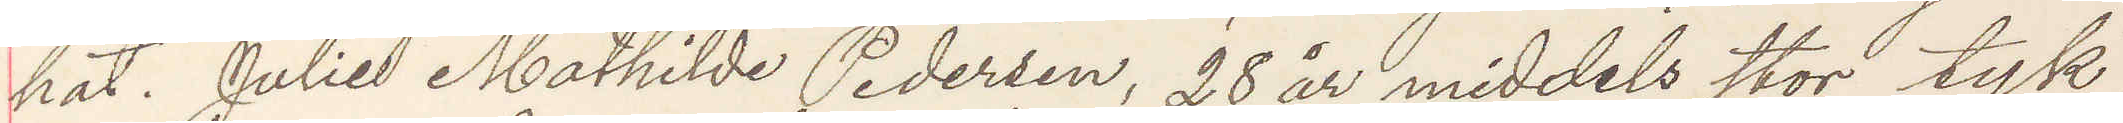hat. Julie Mathilda Pedersen, 28 år middels stor tyk
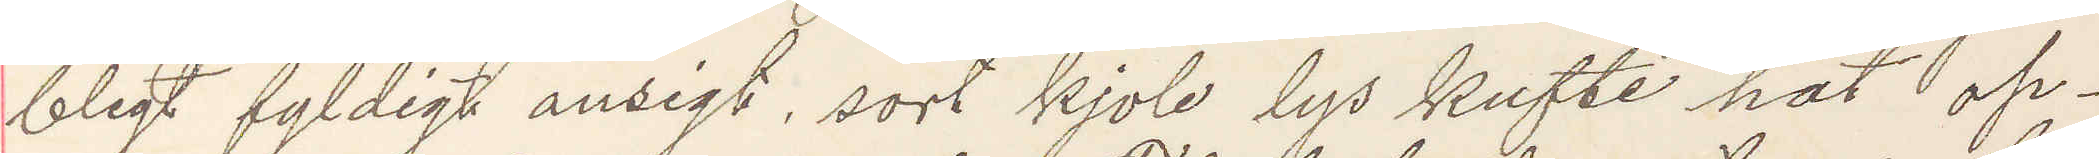blegt fyldigt ansigt, sort kjole lys kufte hat op¬
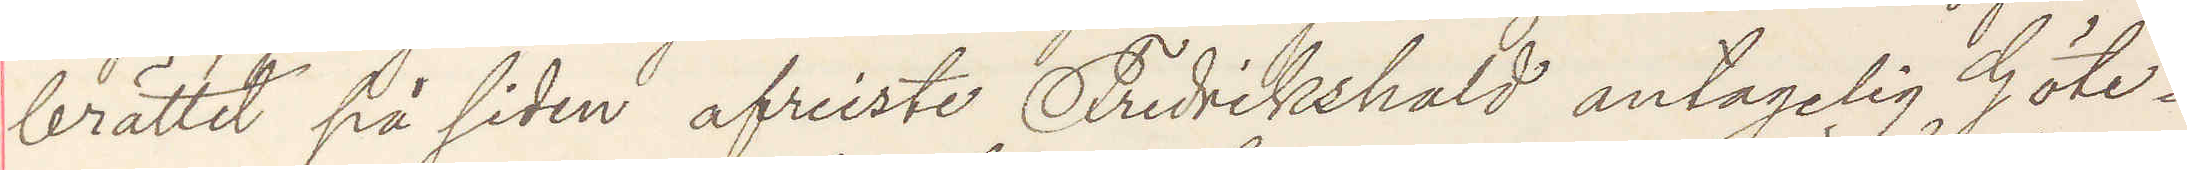brättet på siden afreiste Fredrikshald antagelig Göte¬
